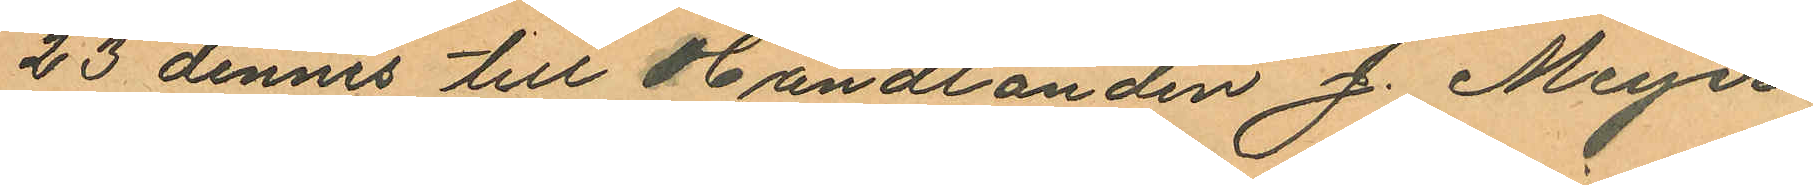23 dennes till Handlanden J. Meyer
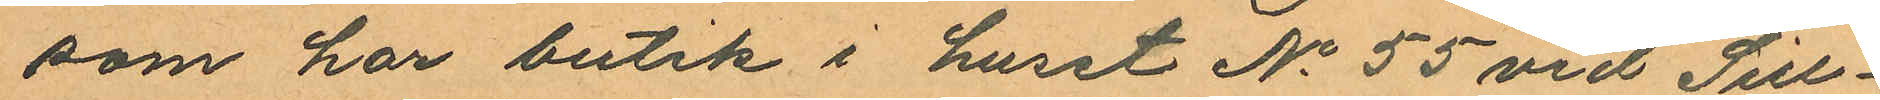som har butik i huset No 55 vid Sill¬
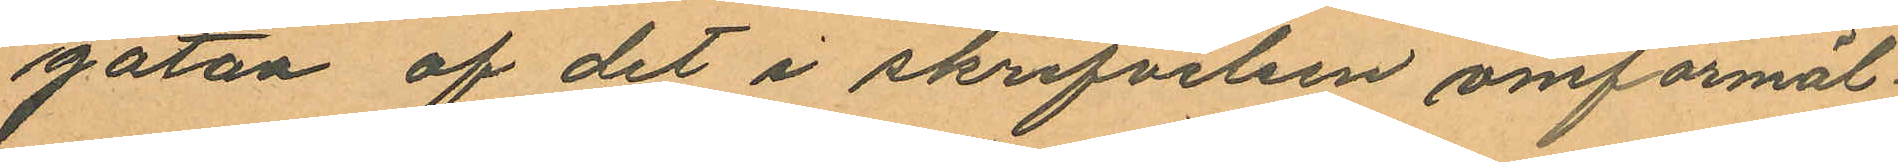gatan af det i skrifvelsen omförmäl¬
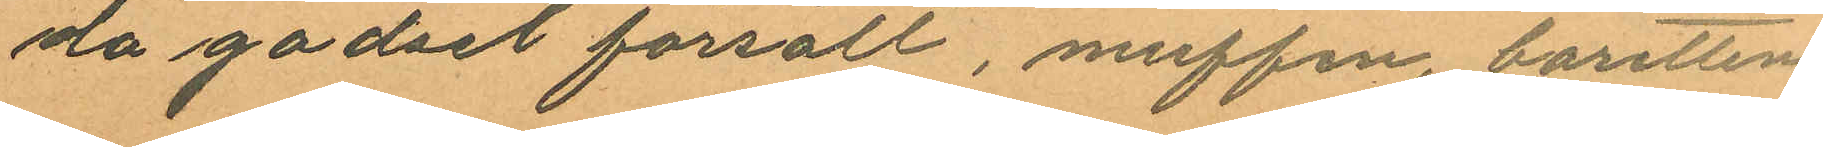då godset försålt, muffen, baretten
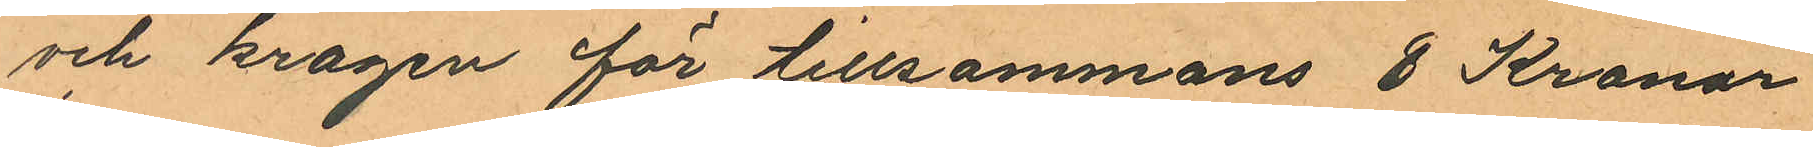och kragen för tillsammans 8 Kronor
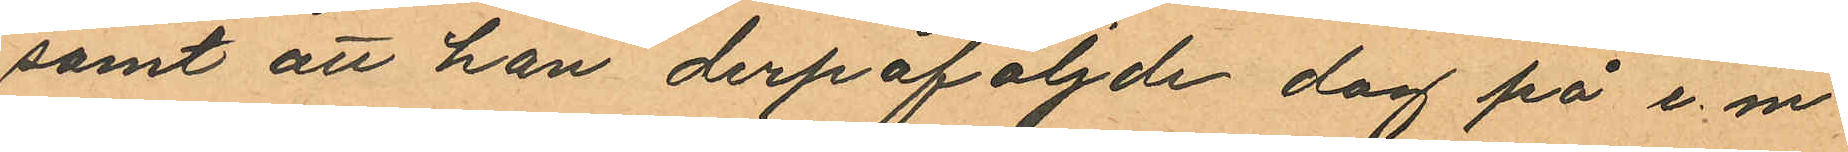samt att han derpåföljde dag på e. m.
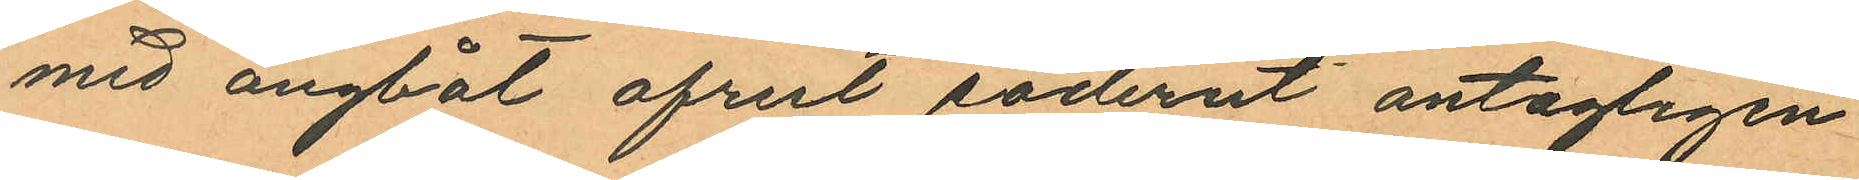med ångbåt afrest söderut antagligen
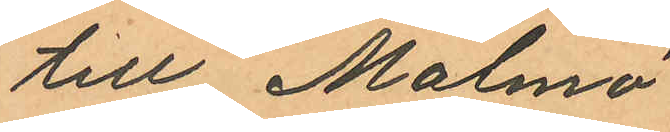till Malmö
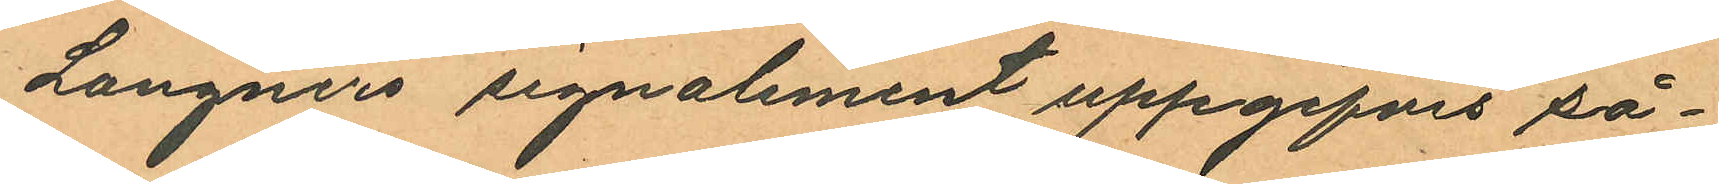Langners signalement uppgifves så¬
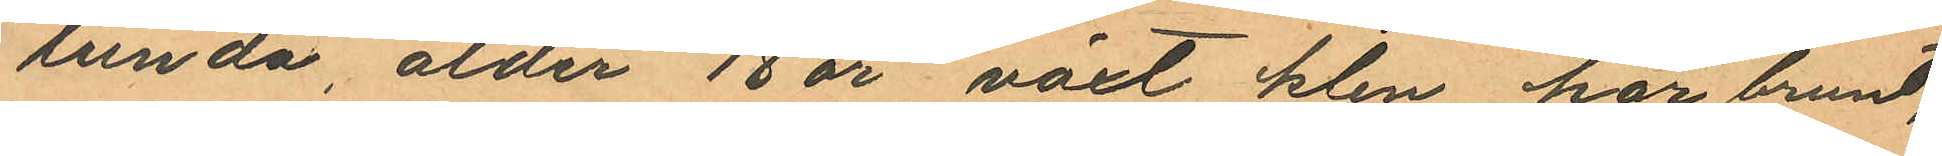lunda, ålder 18 år växt klen, hår brunt,
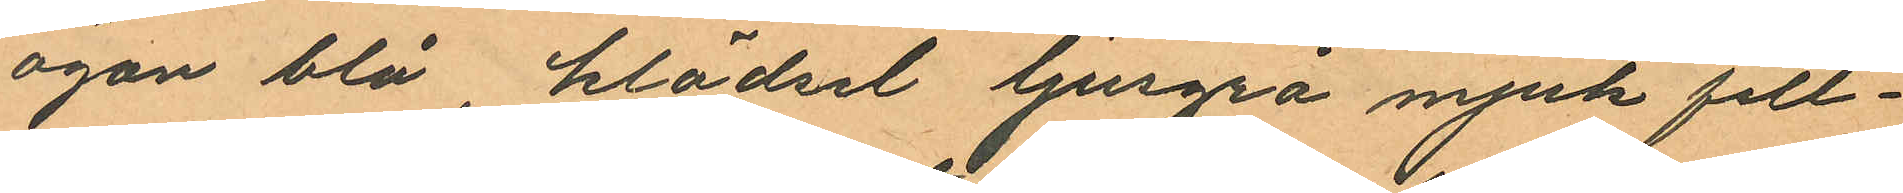ögon blå, klädsel ljusgrå mjuk filt¬
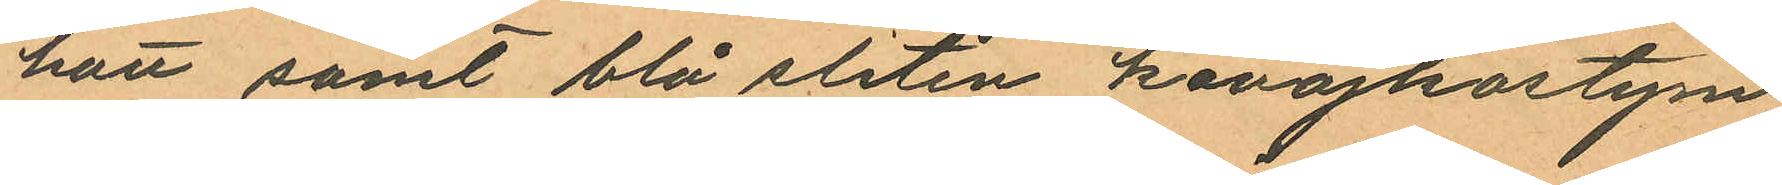hatt samt blå sliten kavajkostym
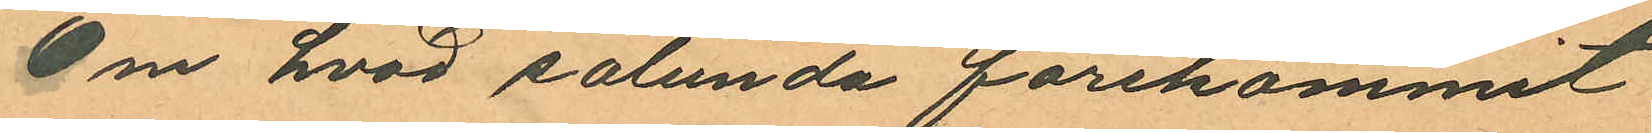Om hvad sålunda förekommit
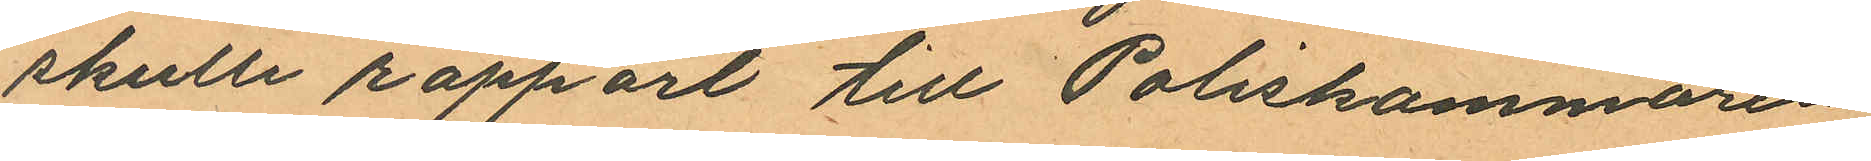skulle rapport till Poliskammaren
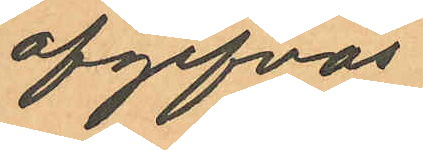afgifvas.
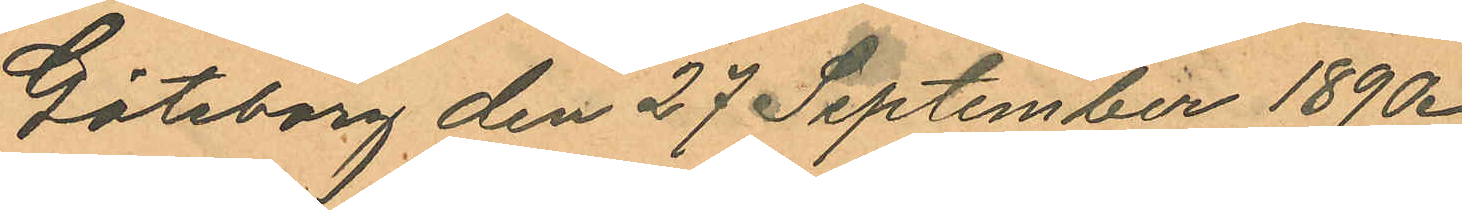Göteborg den 27 September 1890.
